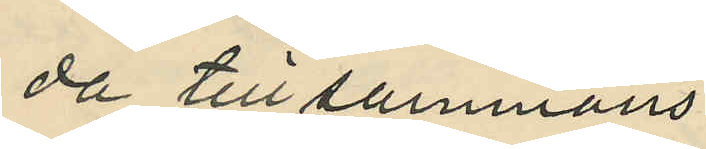da tillsammans
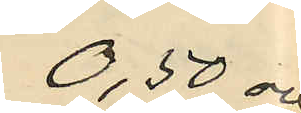0,50 och
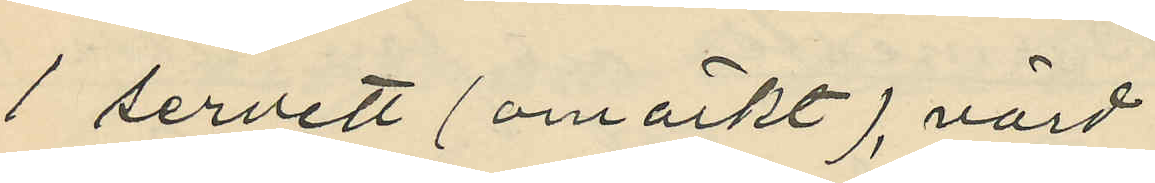1 servett (omärkt) värd
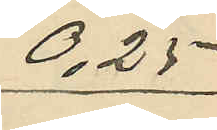0,25
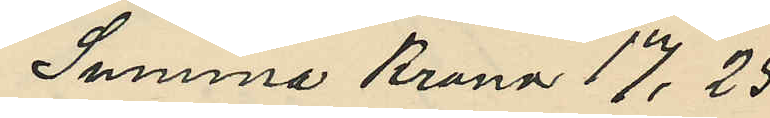Summa Krona 17,25
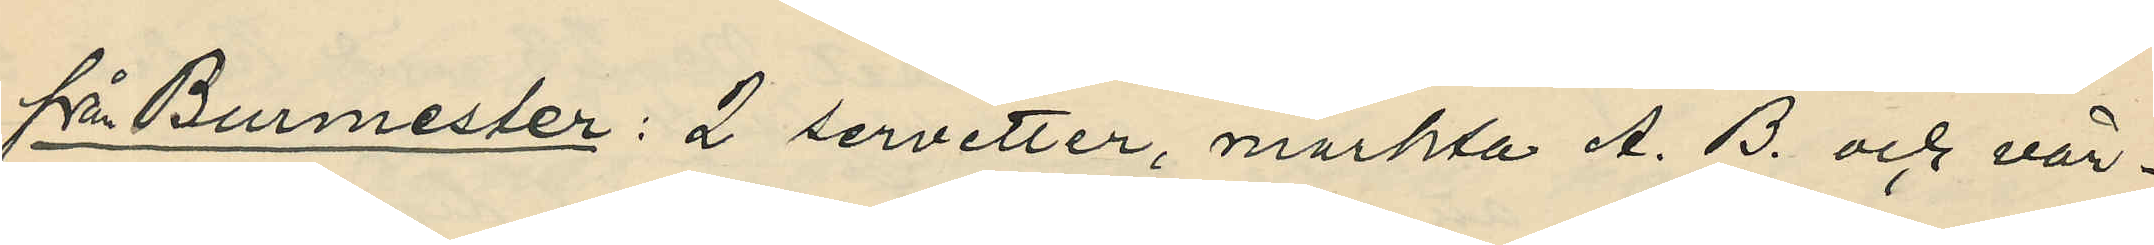från Burmester: 2 servetter, märkta A. B. och vär¬
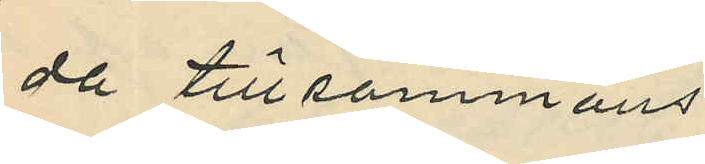da tillsammans
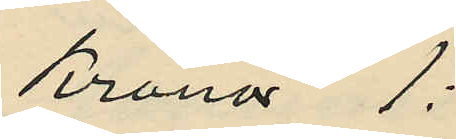Kronor 1:
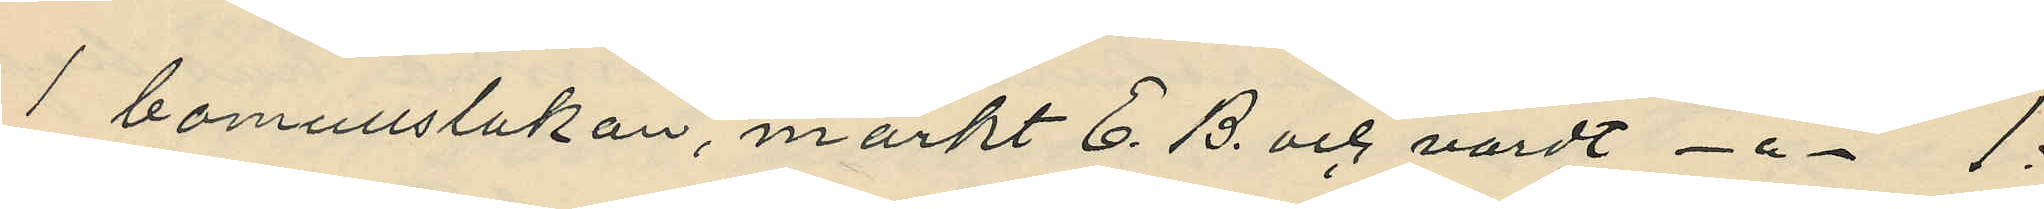1 bomullslakan, märkt E. B. och värdt -"- 1:
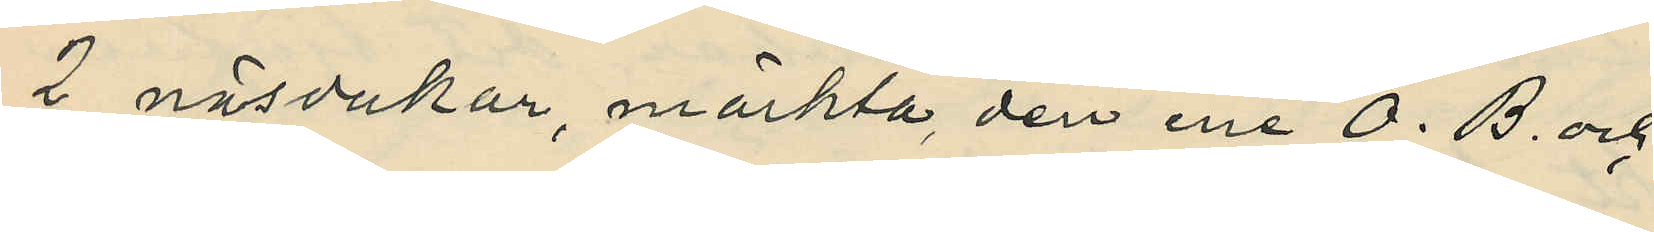2 näsdukar, märkta, den ene O. B. och
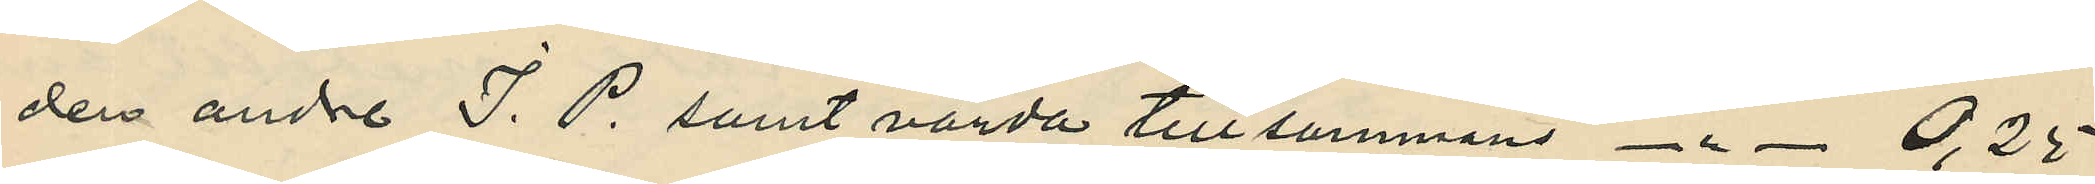den andre J. P. samt värda tillsammans -"- 0,25
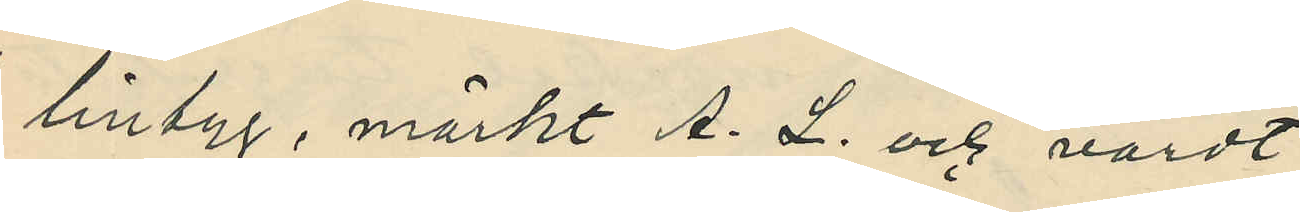1 lintyg, märkt A. L. och värdt
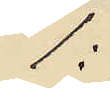1:
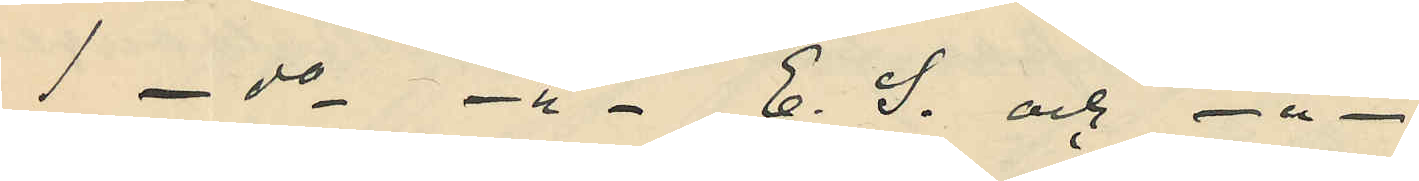1 - do -"- E. S. och -"-
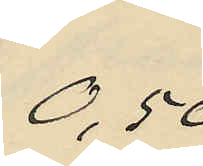0,50
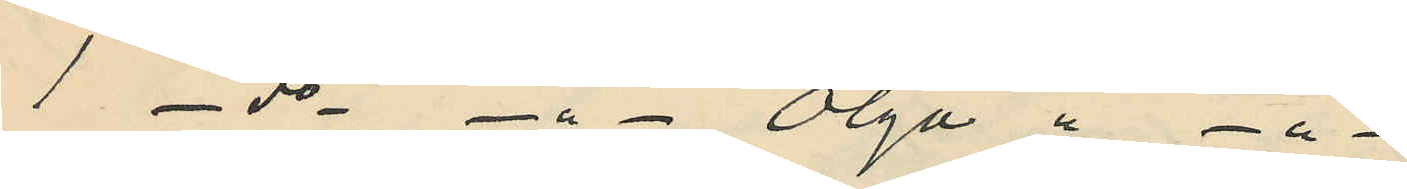1 - do -"- Olga " -"-
